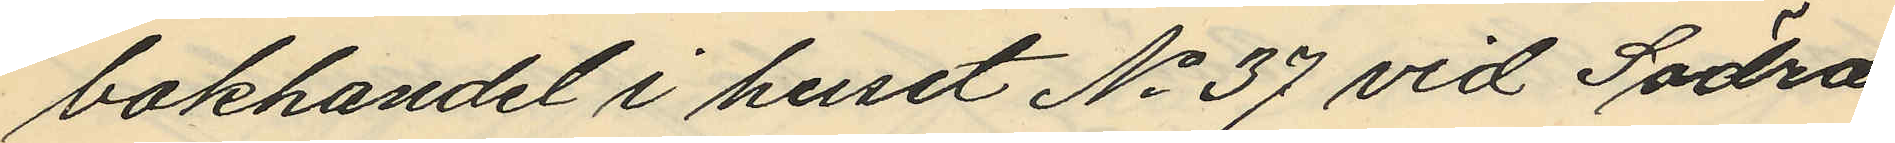bokhandel i huset No 37 vid Södra
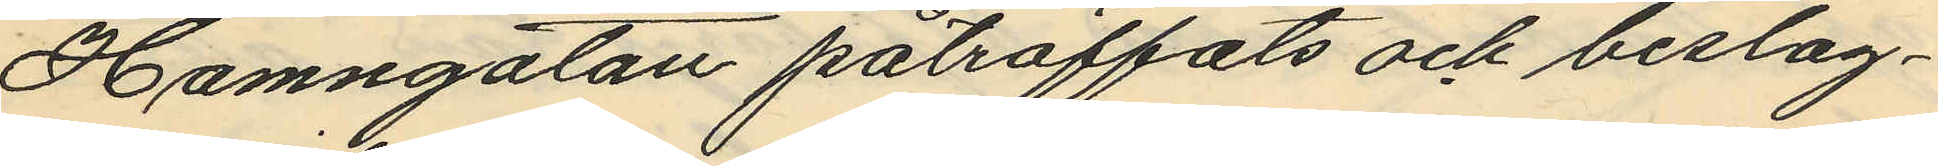Hamngatan påträffats och beslag¬
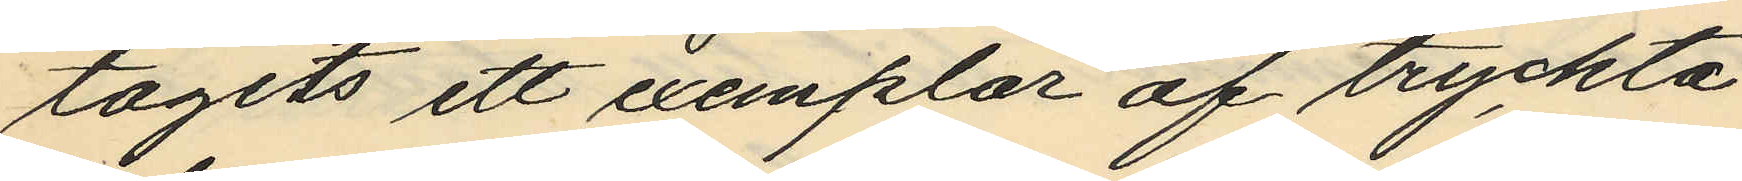tagits ett exemplar af tryckta
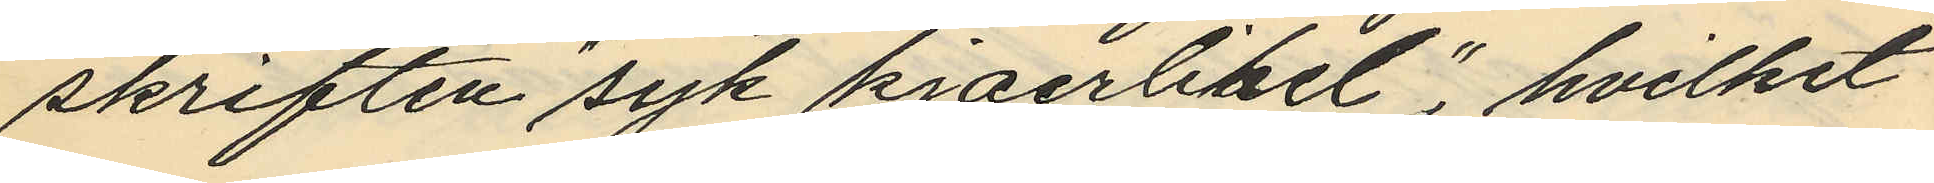skriften "syk kjaerlihet", hvilket
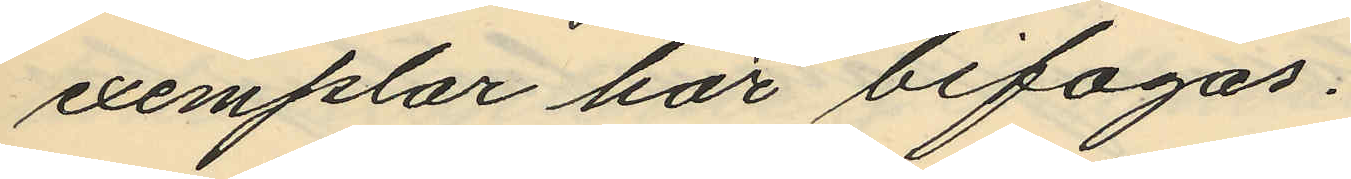exemplar här bifogas.
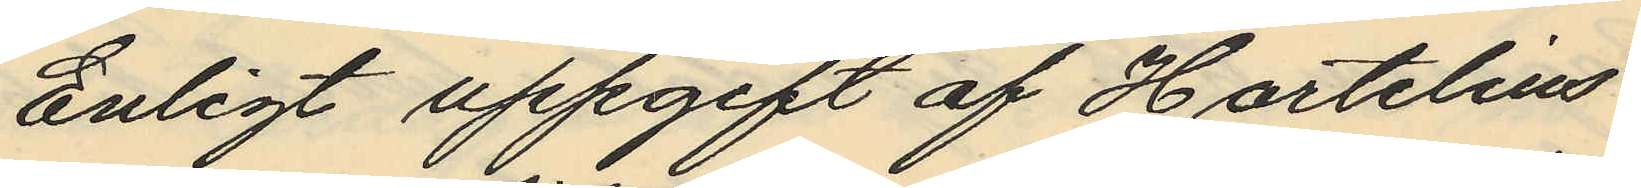Enligt uppgift af Hartelius
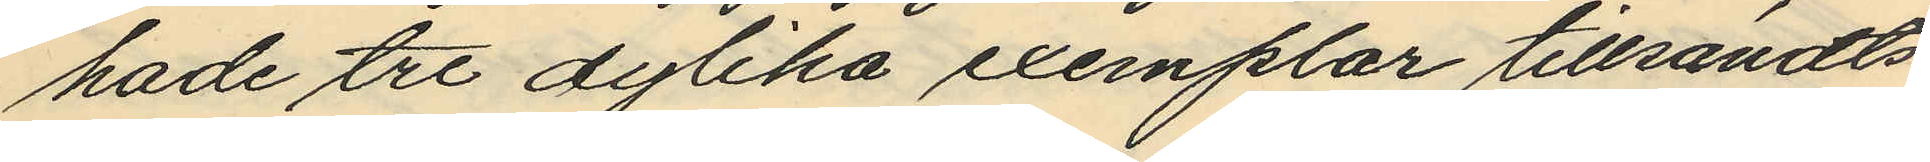hade tre dylika exemplar tillsändts
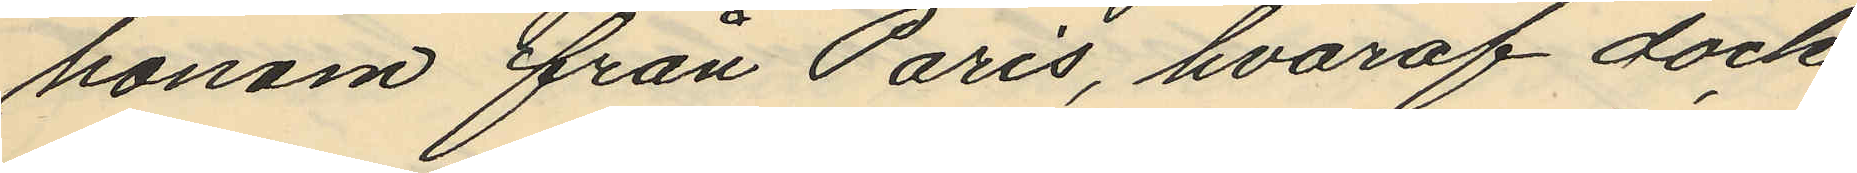honom från Paris, hvaraf dock
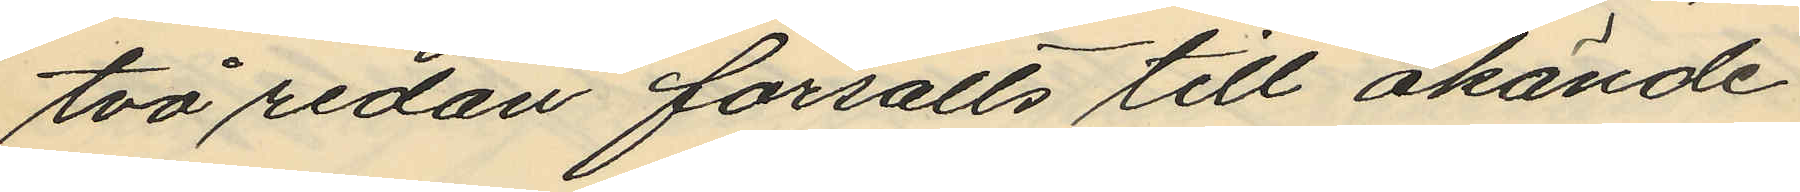två redan försålts till okände
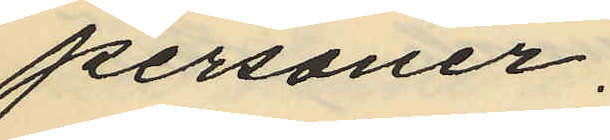personer.
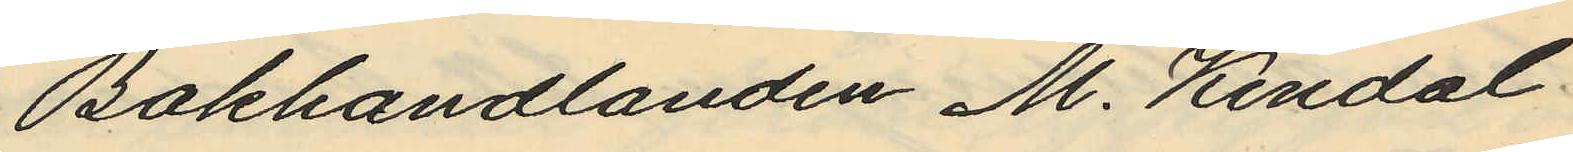Bokhandlanden M. Kindal
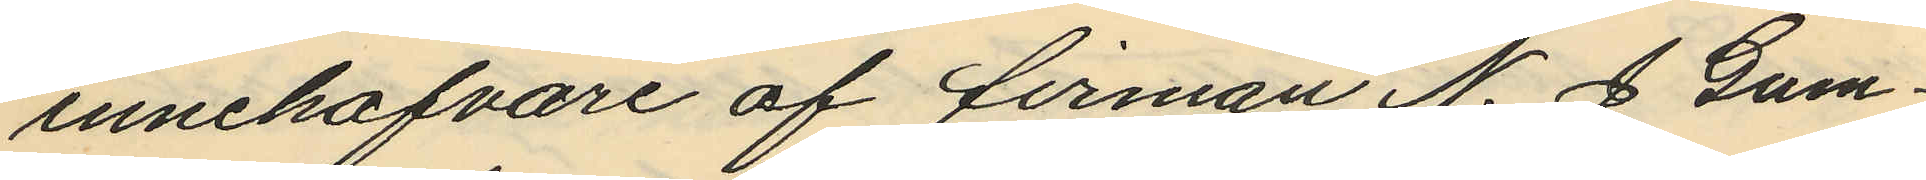innehafvare af firman N. J Gum¬
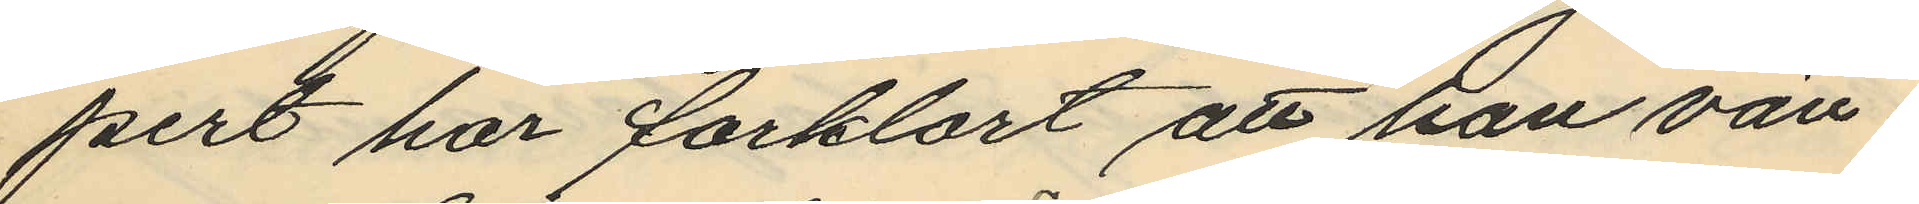pert har forklart att han vän¬
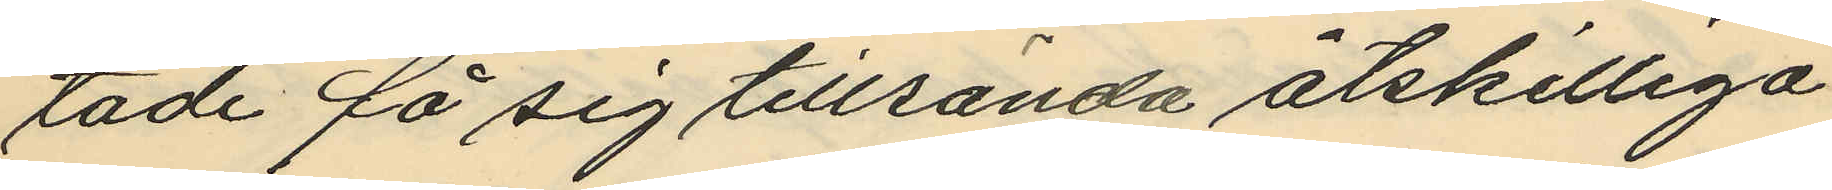tade få sig tillsända åtskilliga
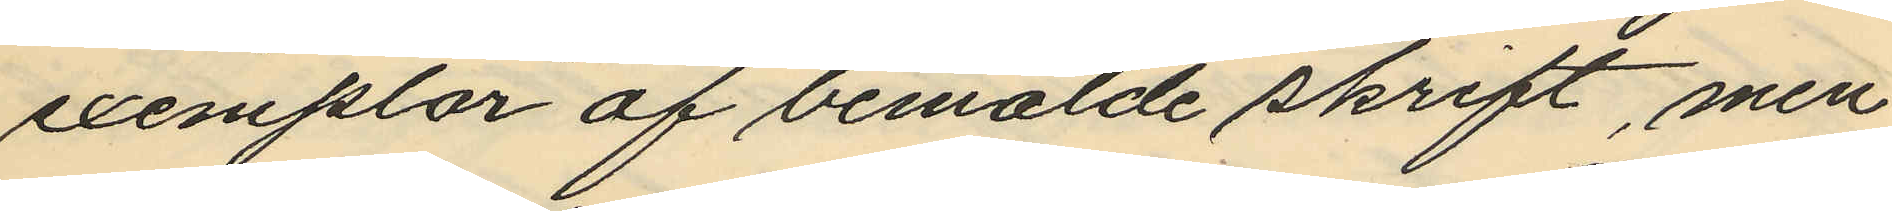exemplar af bemälde skrift, men
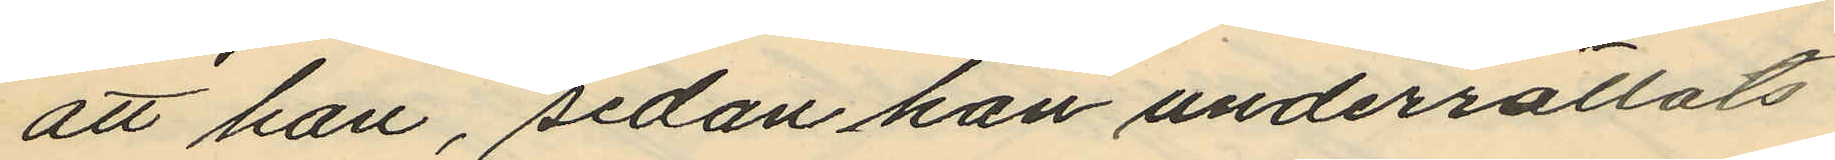att han, sedan han underrättats
